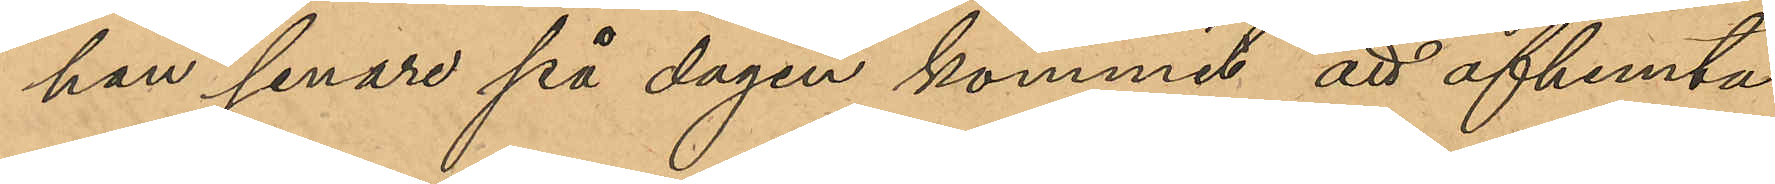han senare på dagen kommit att afhemta
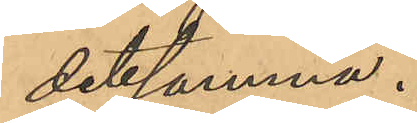detsamma.
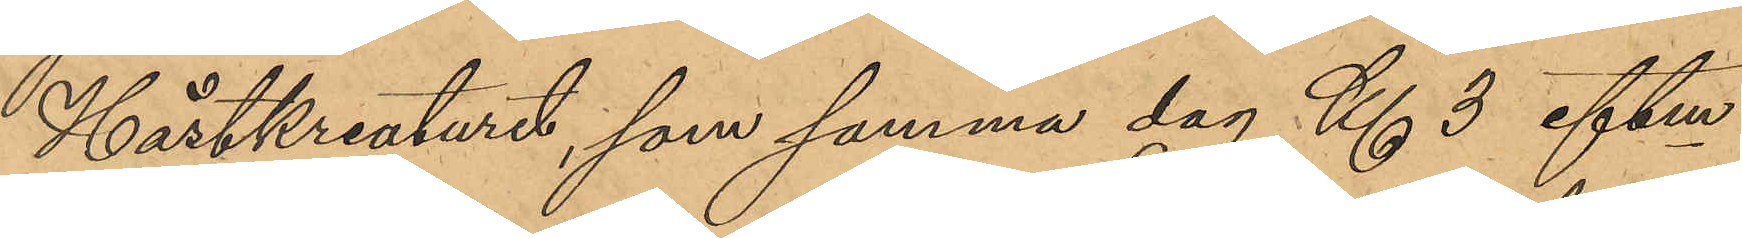Hästkreaturet, som samma dag Kl 3 eftm
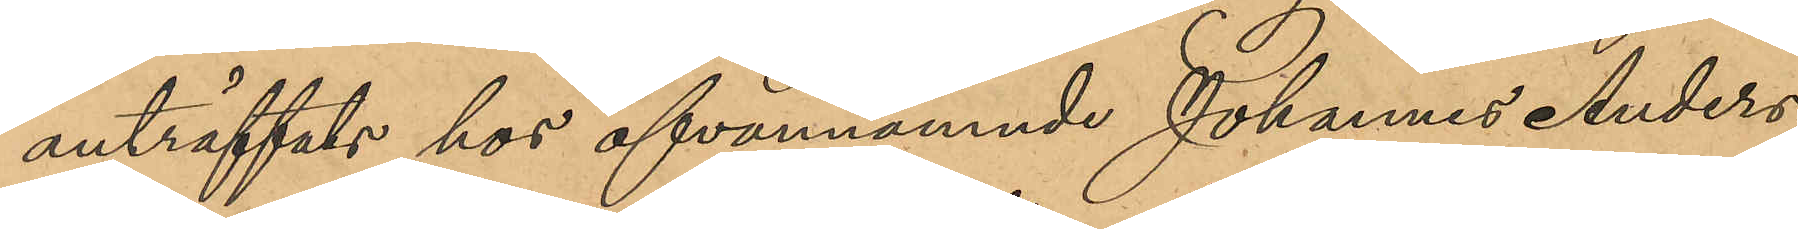anträffats hos ofvannämnde Johannes Anders¬
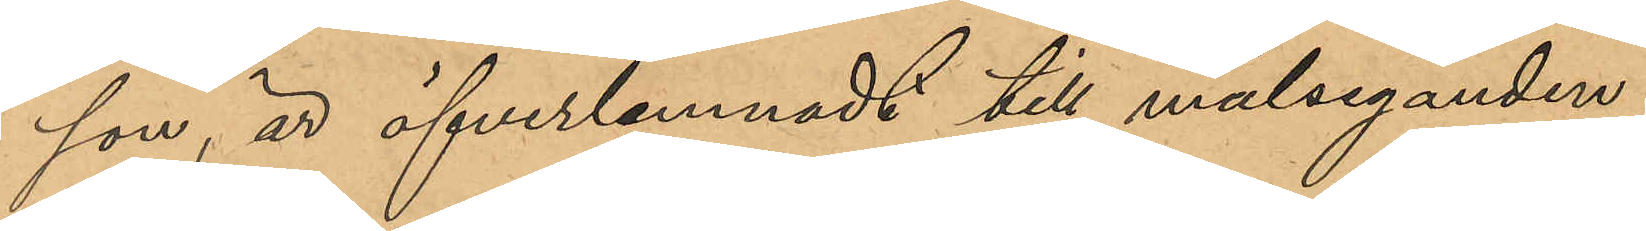son, är öfverlemnadt till måleganden.
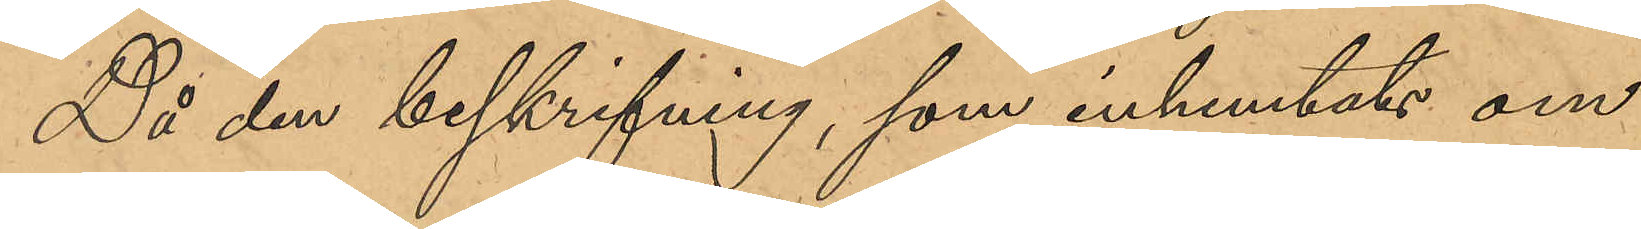Då en beskrifning, som inhemtats om
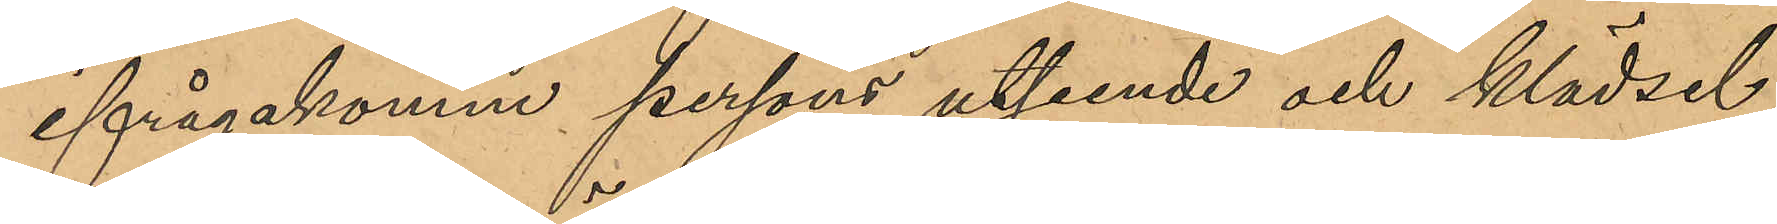ifrågakomne persons utseende och klädsel
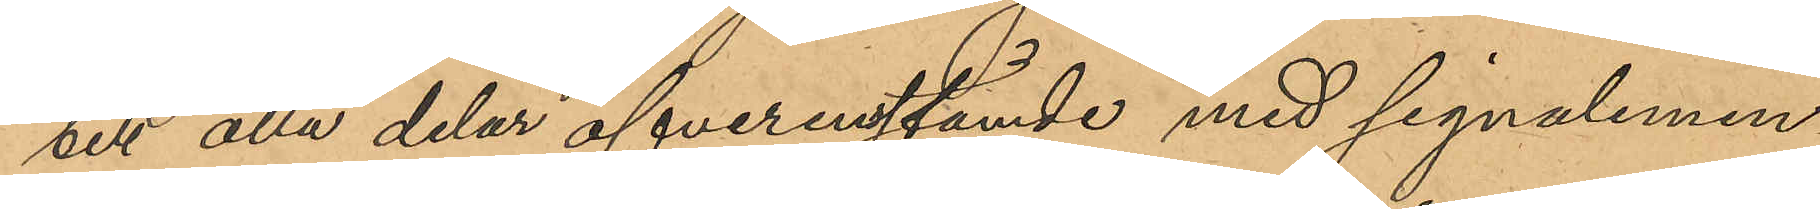till alla delar öfverensstämde med signalemen¬
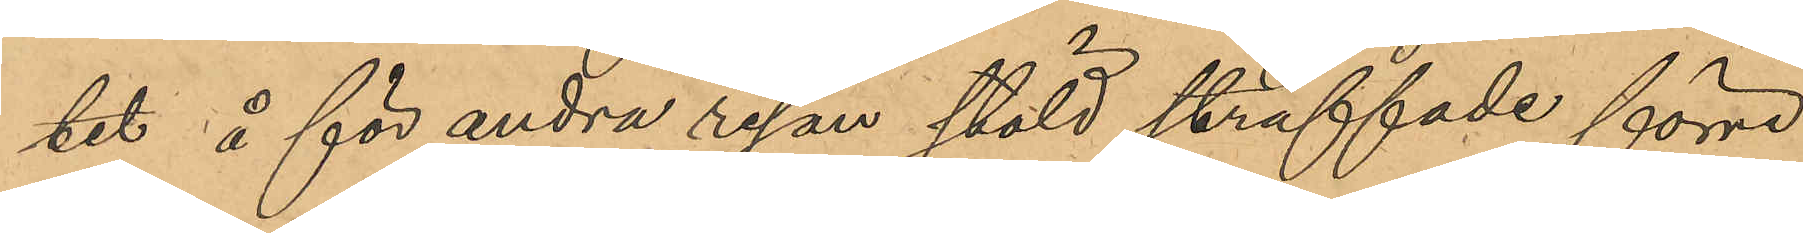tet å för andra resan stöld straffade förre
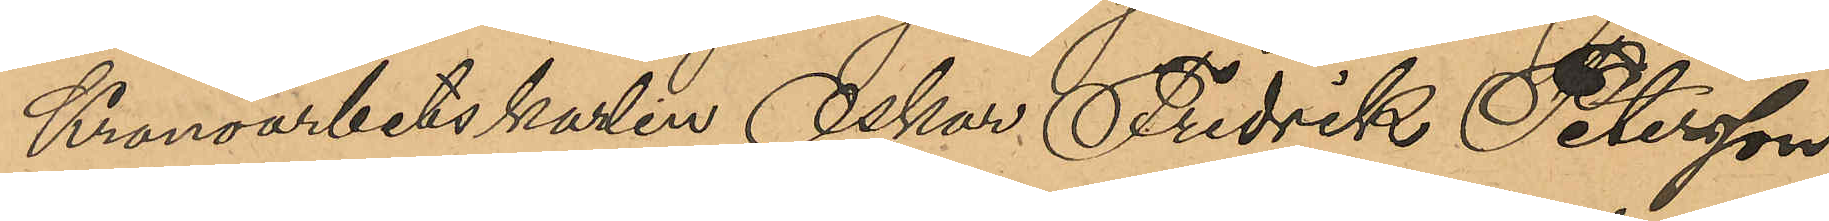Kronoarbetskarlen Oskar Fredrik Petersson
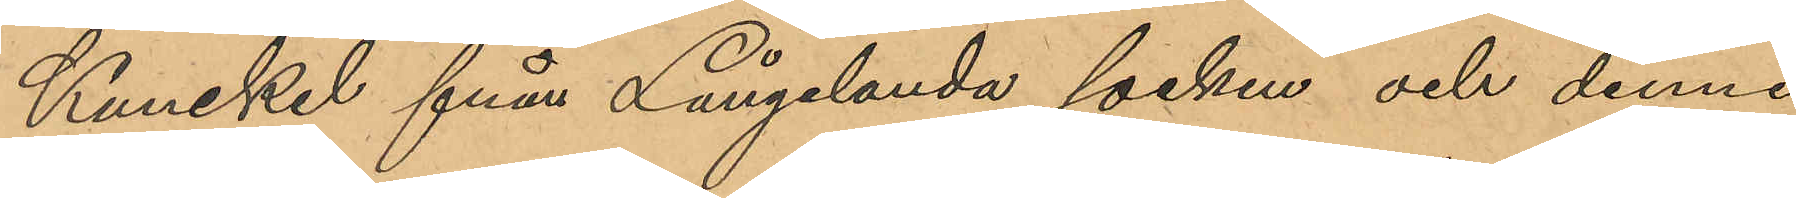Kunckel från Långelanda socken och denne
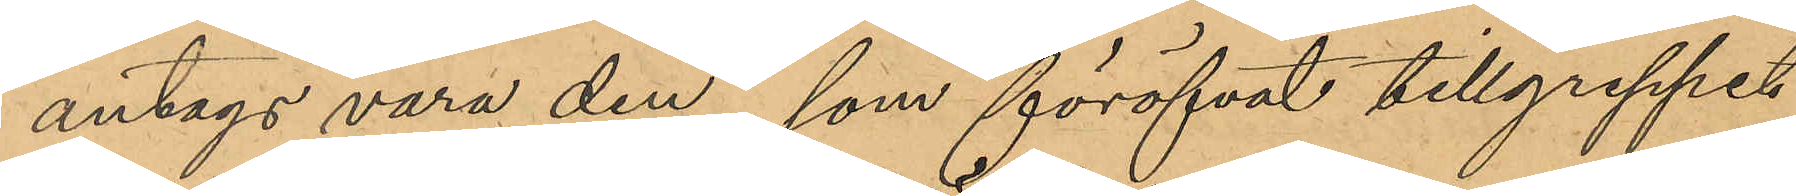antogs vara den, som föröfvat tillgreppet
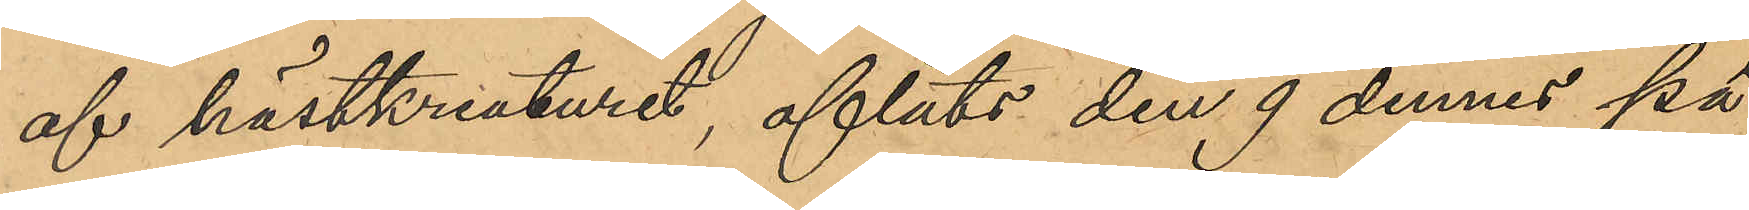af hästkreaturet, afläts den 9 dennes på
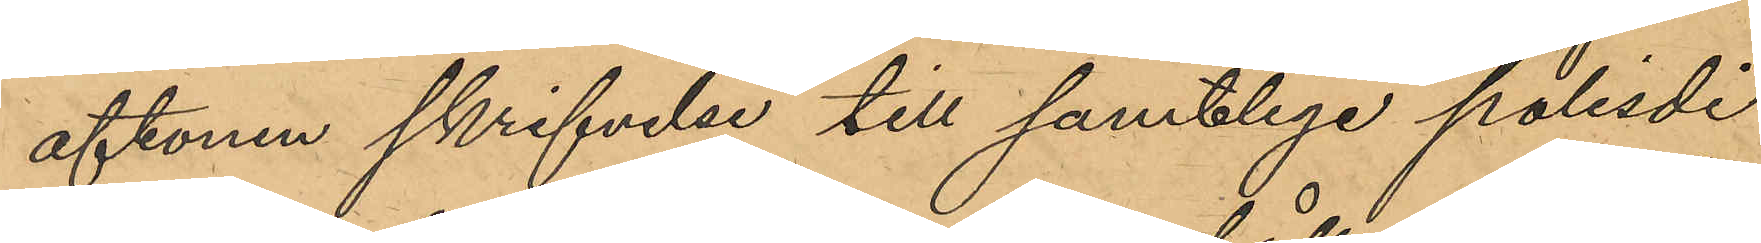aftonen skrifvelser till samtliga polisdi¬
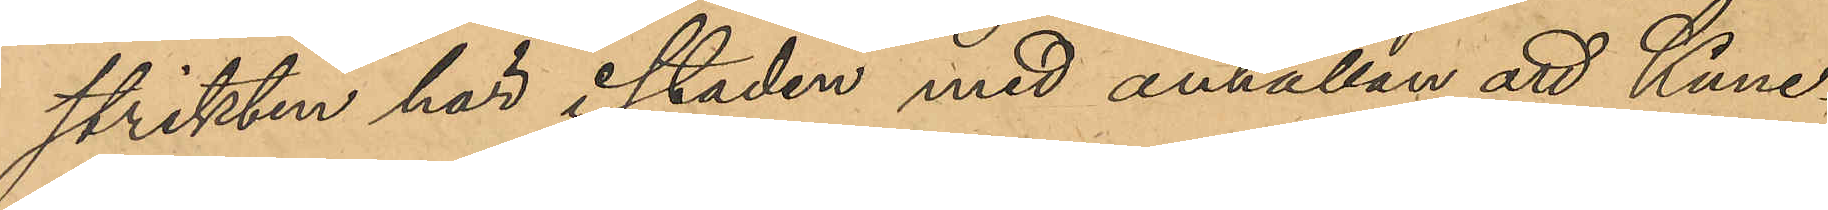strikten här i staden med anhållan att Kunc¬
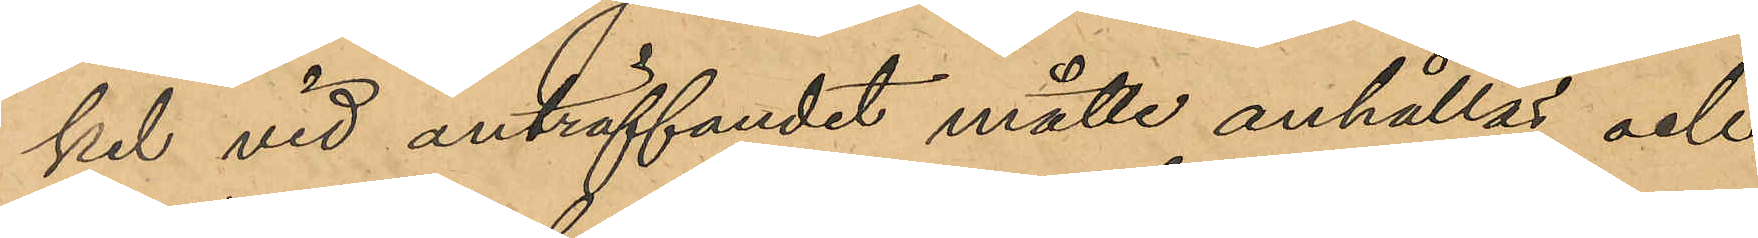kel vid anträffandet måtte anhållas och
